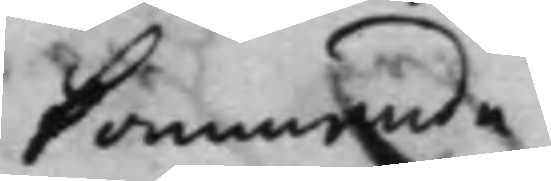kommande
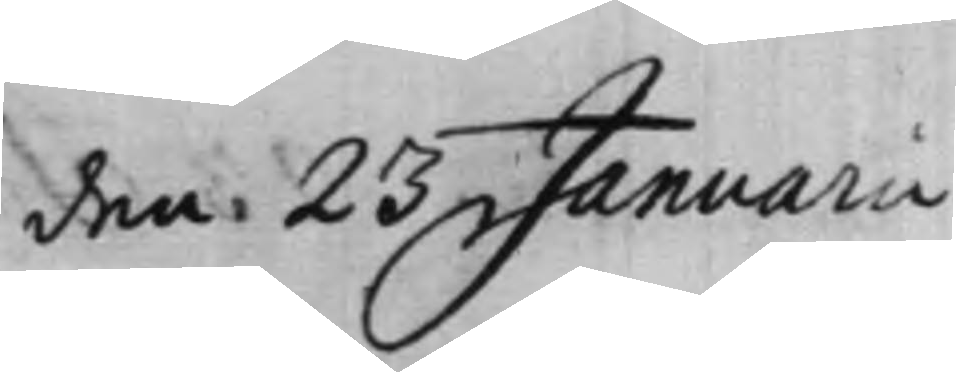den 23 Januarii
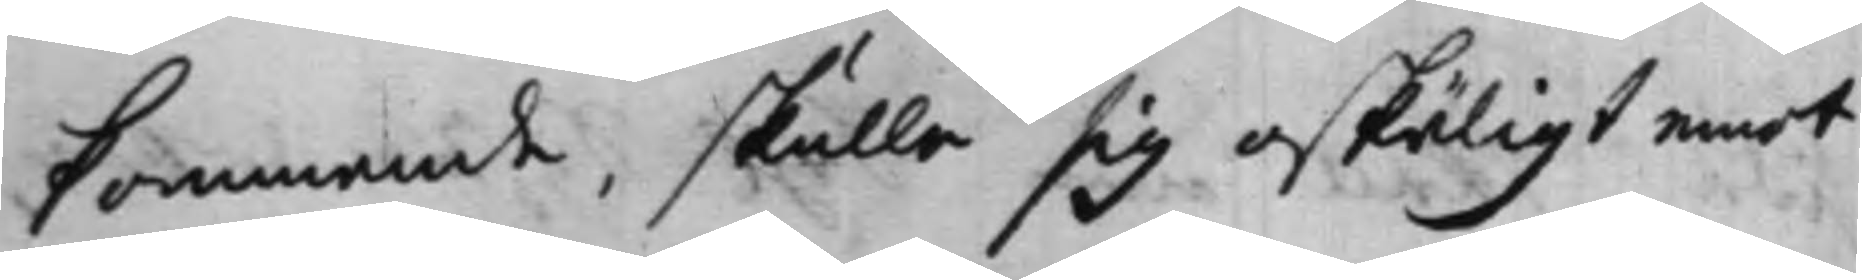kommande, skulle sig oskäligt emot
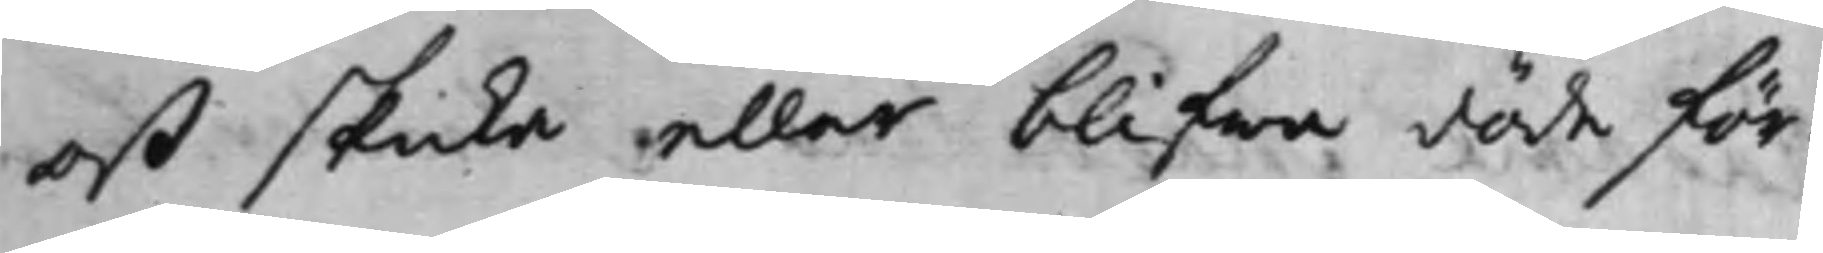oß skicka eller blifwa döde för¬
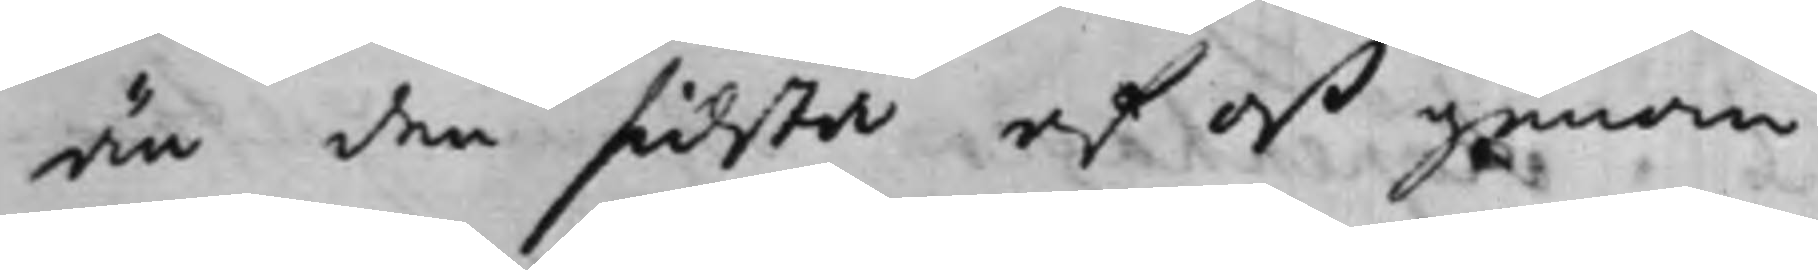än den sidsta af oß genom
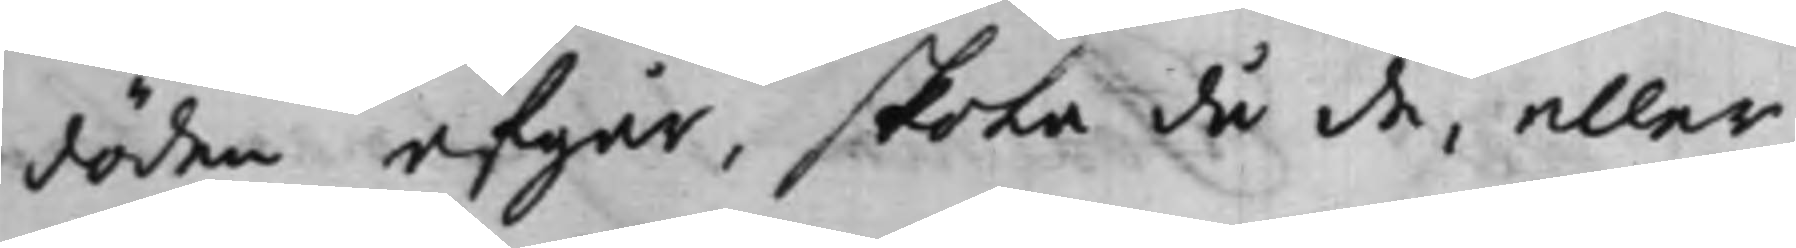döden afgår, skola då de, eller
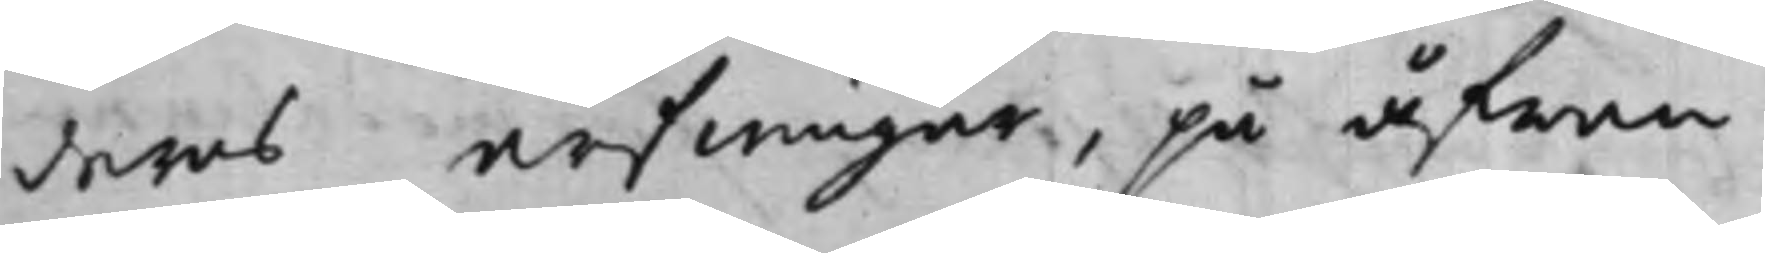deras arfwingar, på åfwan¬
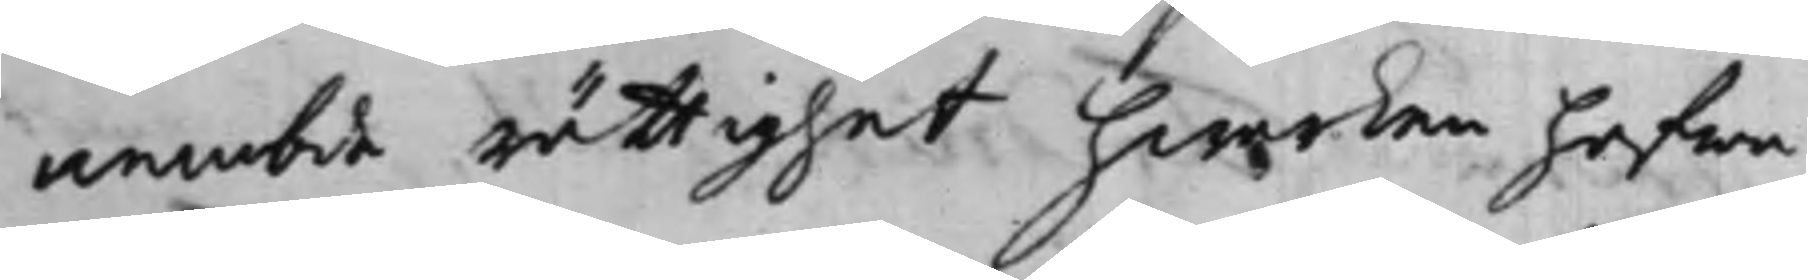nembde rättighet hwarken hafwa
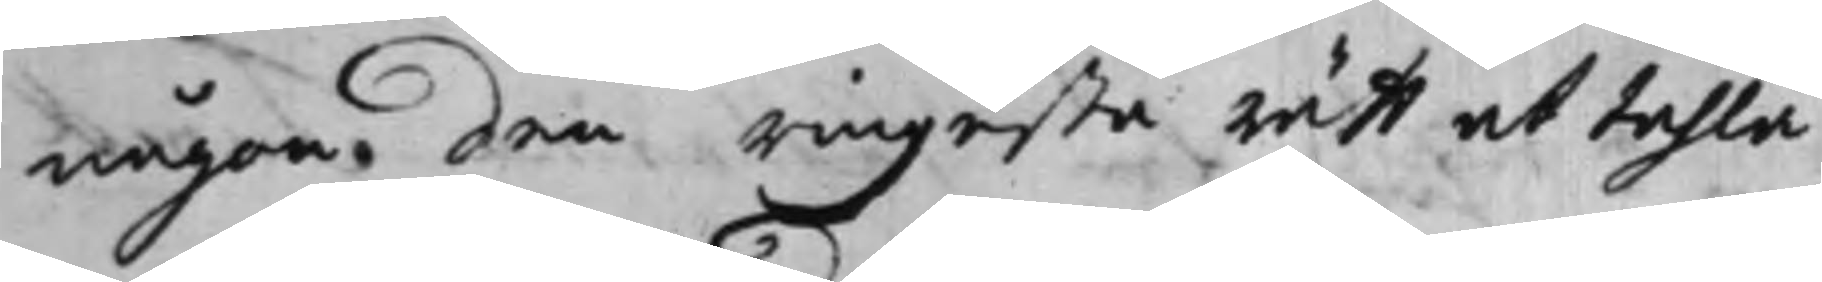någon den ringesta rätt at tahla
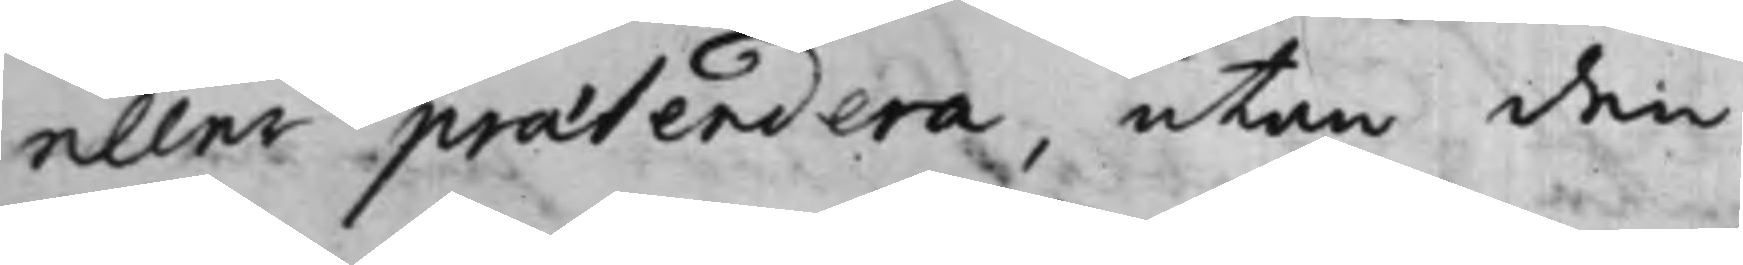eller praetendera, utan den
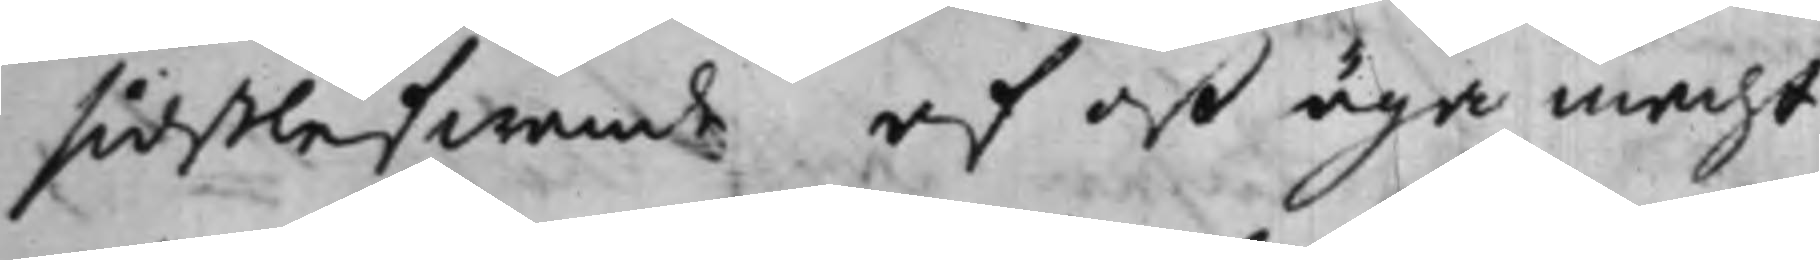sidstlefwande af oß äga macht
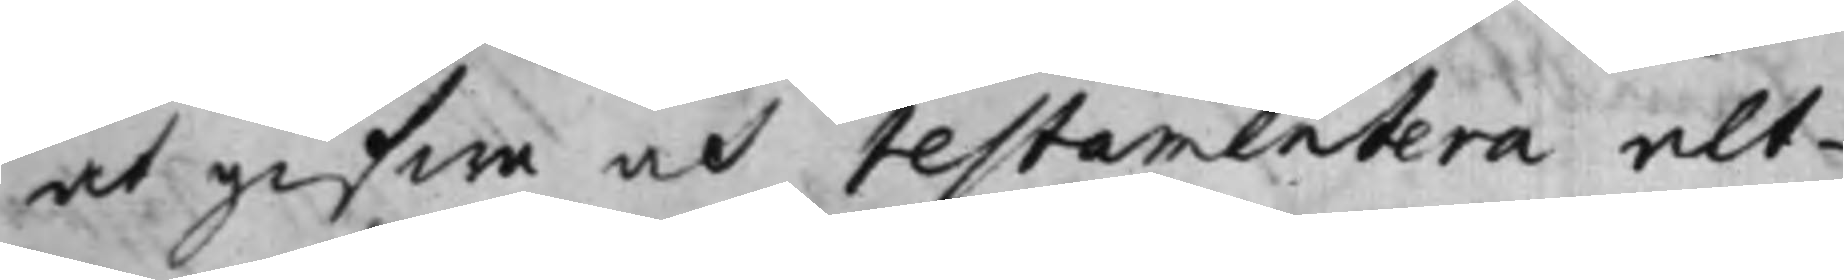at gifwa och testamentera alt¬
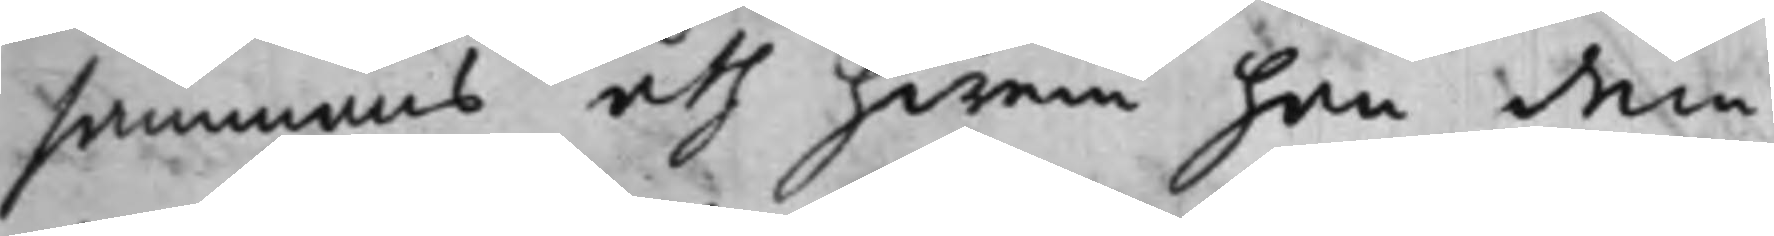sammans åth hwem han dem¬
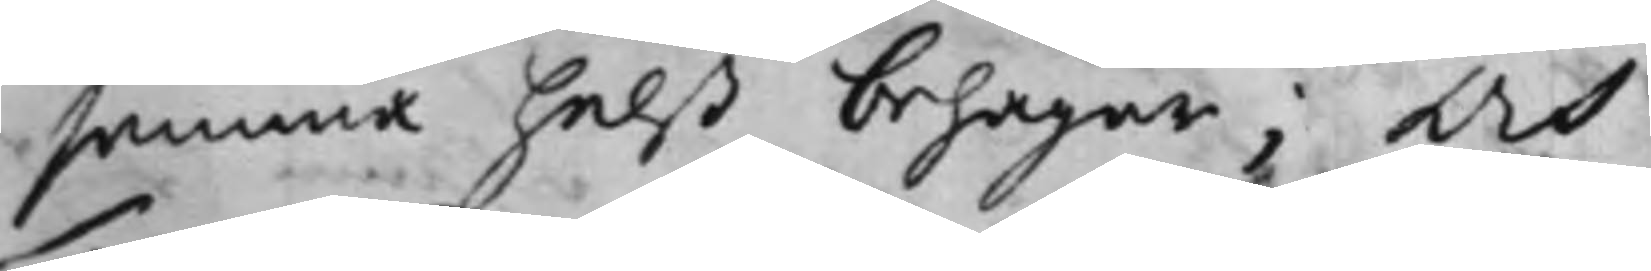samma helst behagar; Och
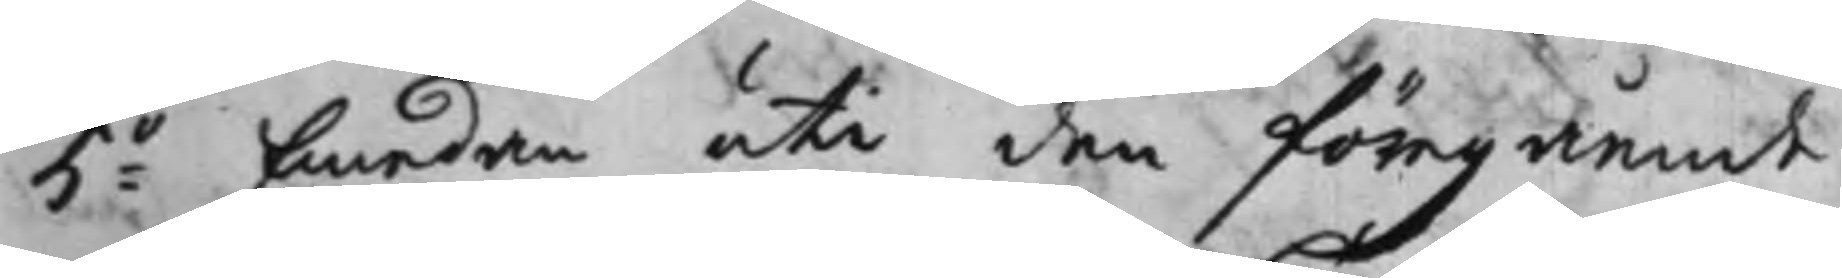5:o Emedan uti den föregående
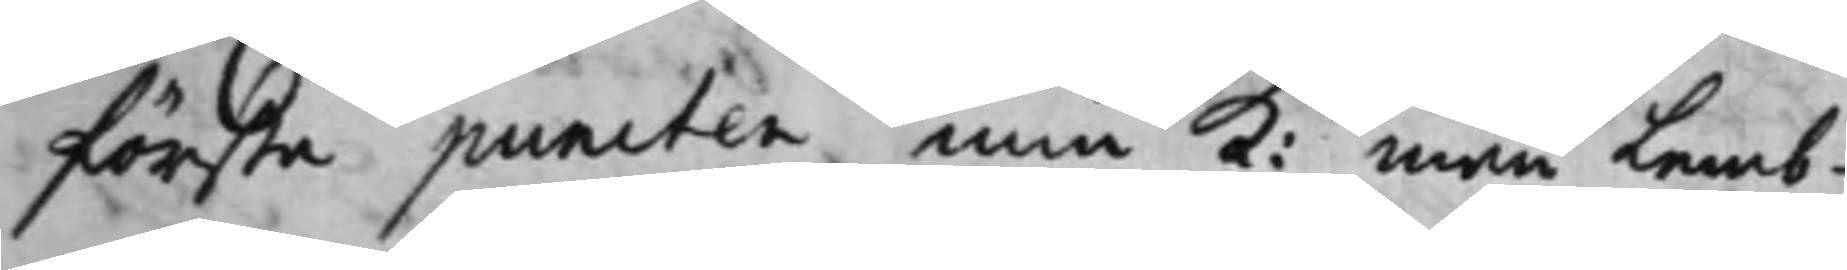första puncten min K: man Lemb¬
